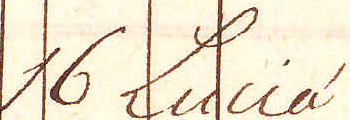16 Luciá
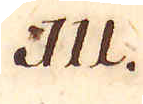111.
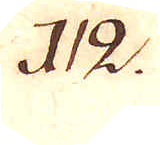112.
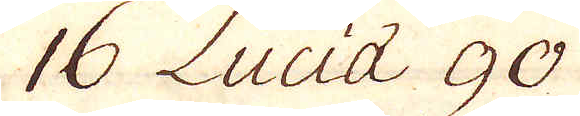16 Luciá 90
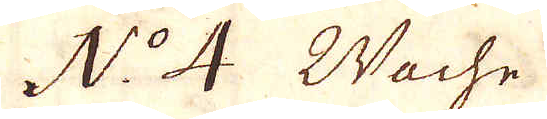N:o 4 Wache
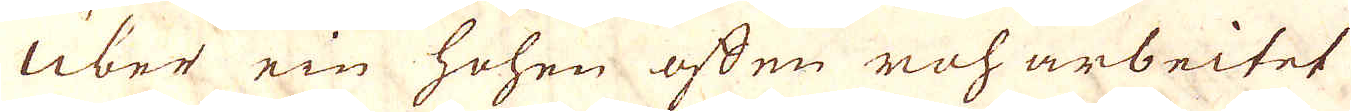Uber ein hohen offen roharbeitet
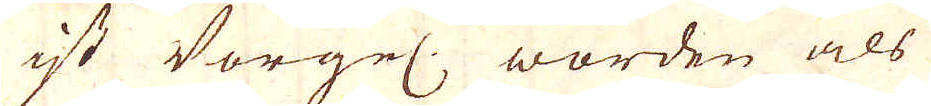ist Vorgel: worden als
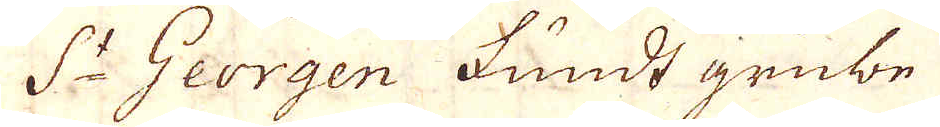S:t Georgen Fundt grube
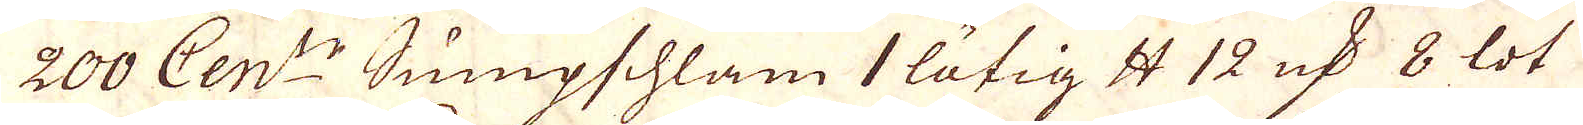200 Cent:r Sumpschlam 1 lötig skålpund 12 marker 8 lot
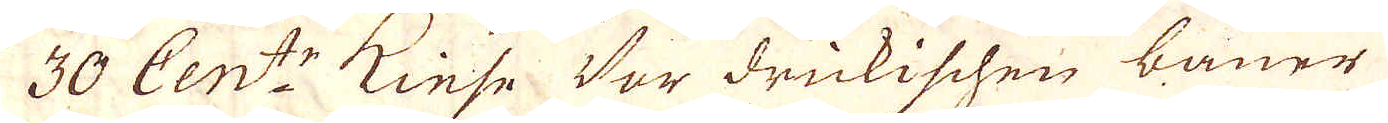30 Cent:r Kiese Vor drickischen bauer
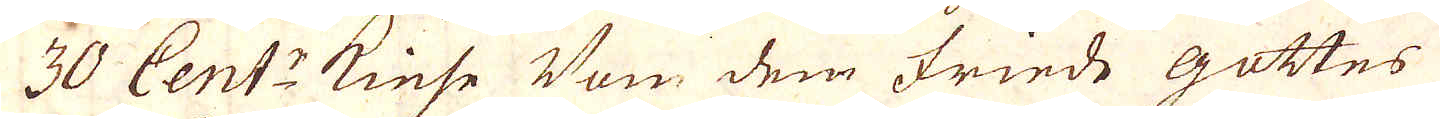30 Cent:r Kiese Von dem Friede gottes
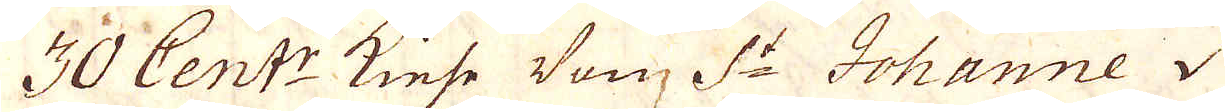30 Cent:r Kiese Von S:t Johanne
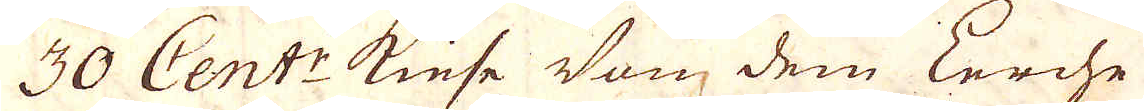30 Cent:r Kiese Von dem Eerche
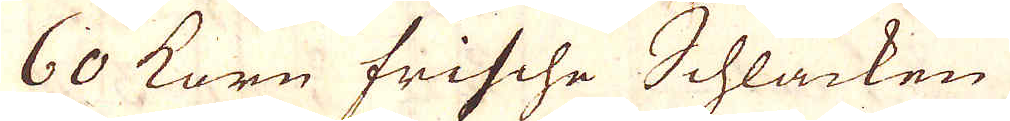60 Korn Frische Schlacken
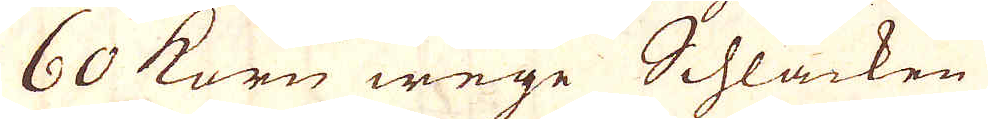60 Korn wege Schlacken
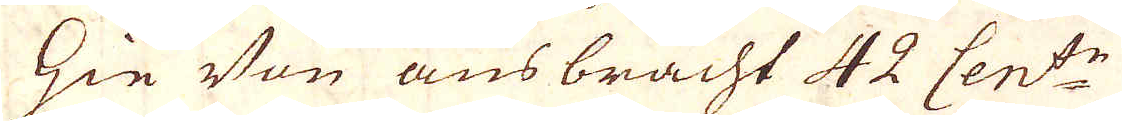Hie Von ausbracht 42 Cent:r
